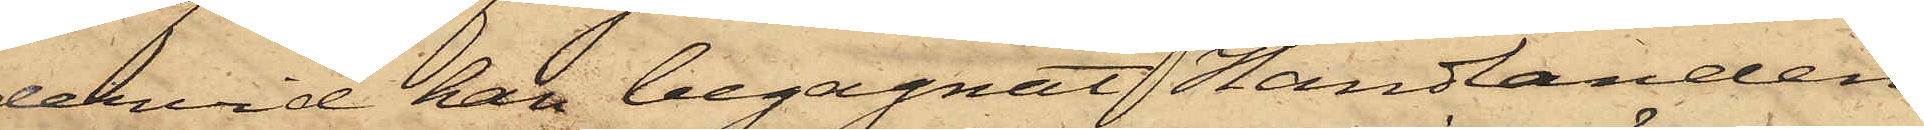dervid han begagnat Handlanden
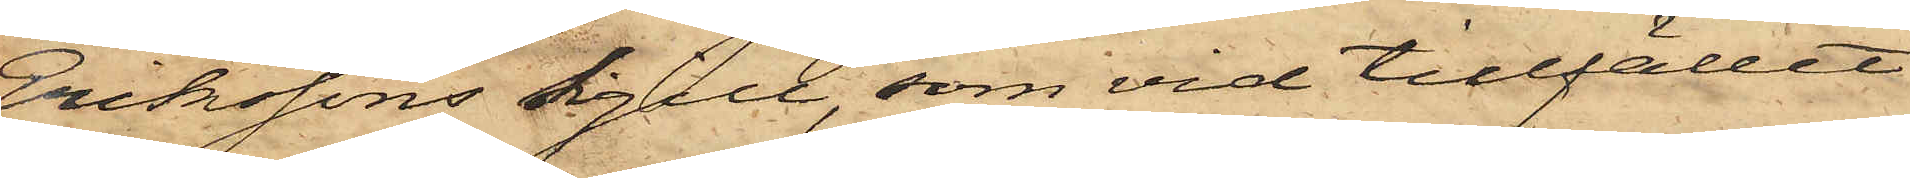Erikssons sigill, som vid tillfället
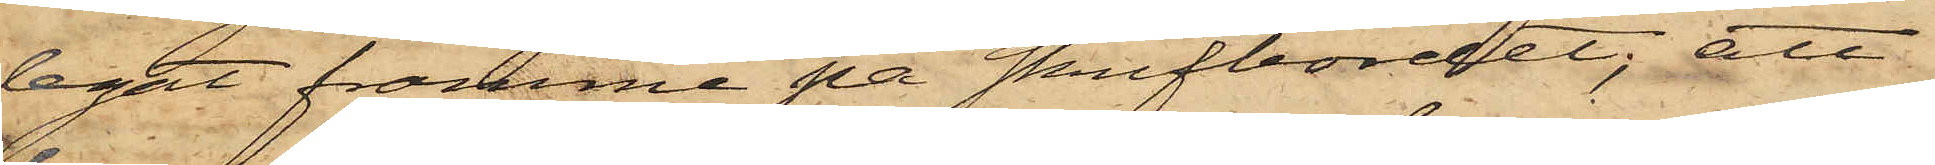legat framme på skrifbordet; att
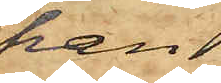han
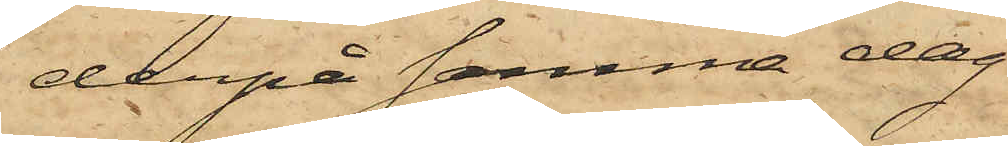derpå samma dag
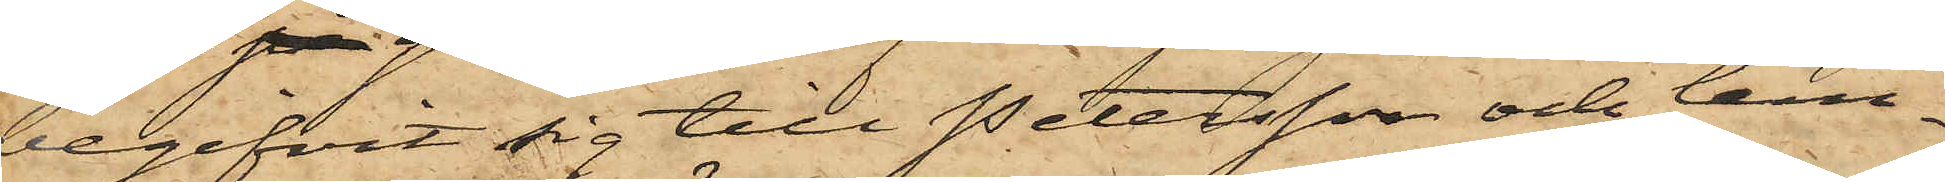begifvit sig till Petersson och lem¬
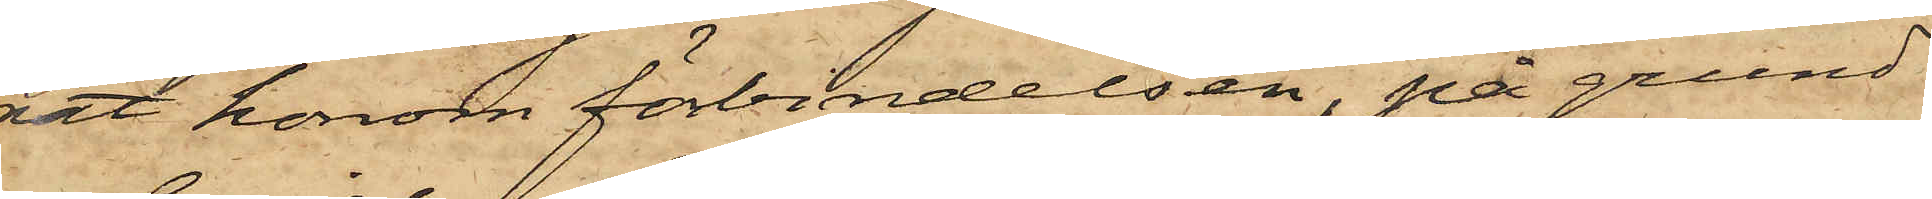nat honom förbindelsen, på grund
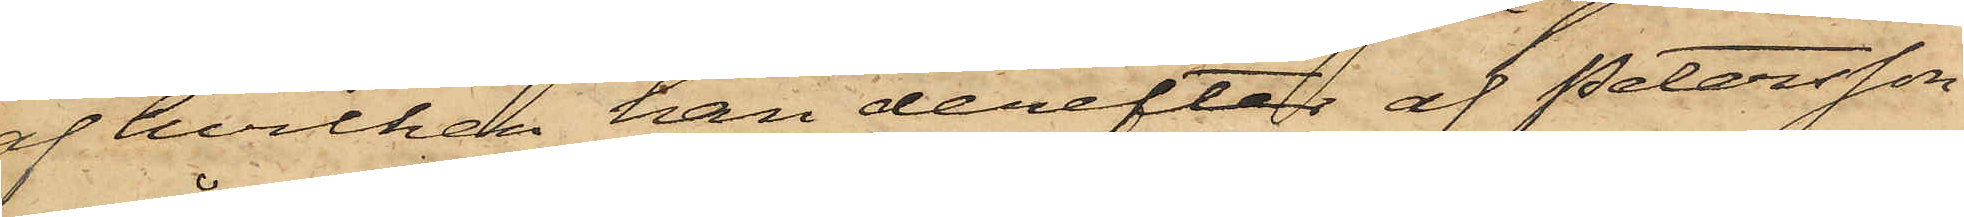af hvilken han derefter af Petersson
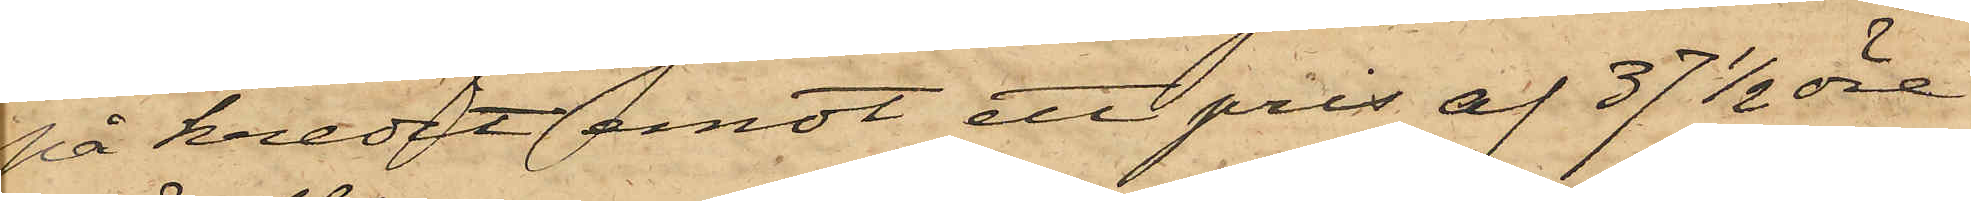på kredit emot ett pris af 37 1/2 öre
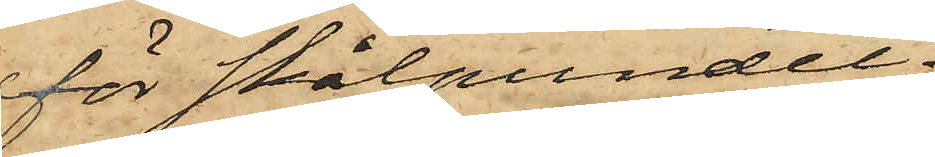för skålpundet
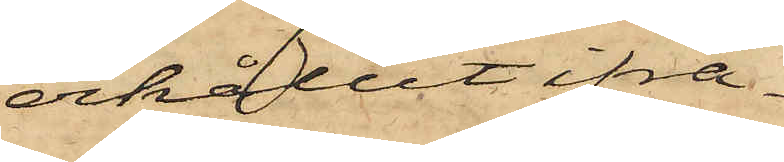erhållit ifrå¬
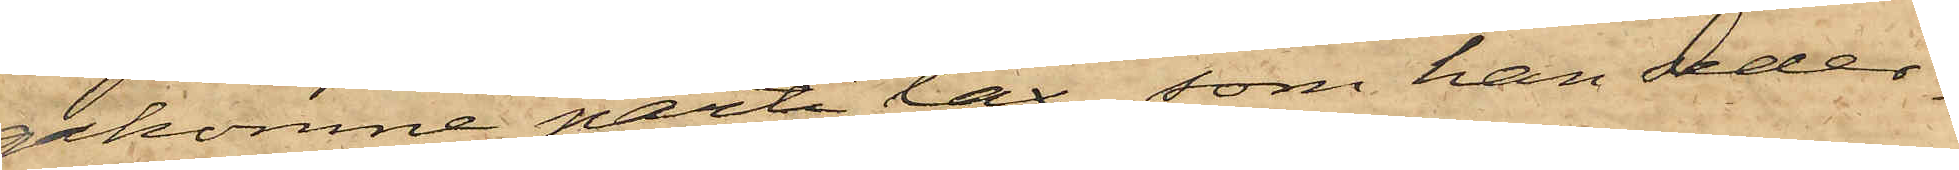gakomne parti lax, som han seder¬
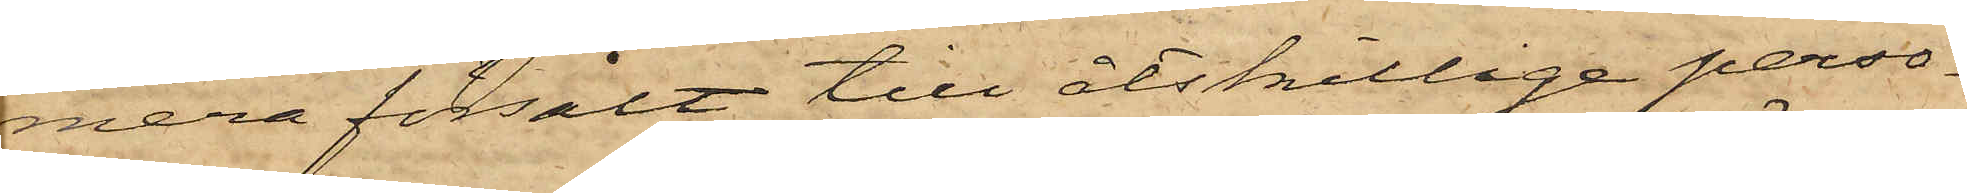mera försålt till åtskillige perso¬
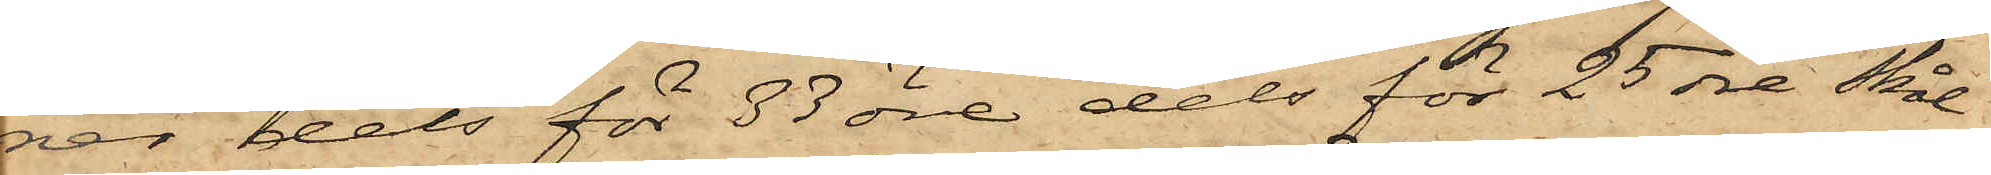ver dels för 33 öre dels för 25 öre skål¬
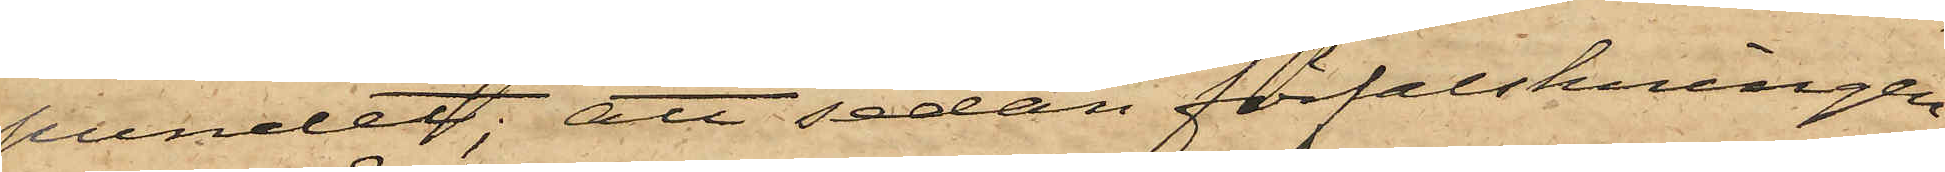pundet; att sedan förfalskningen
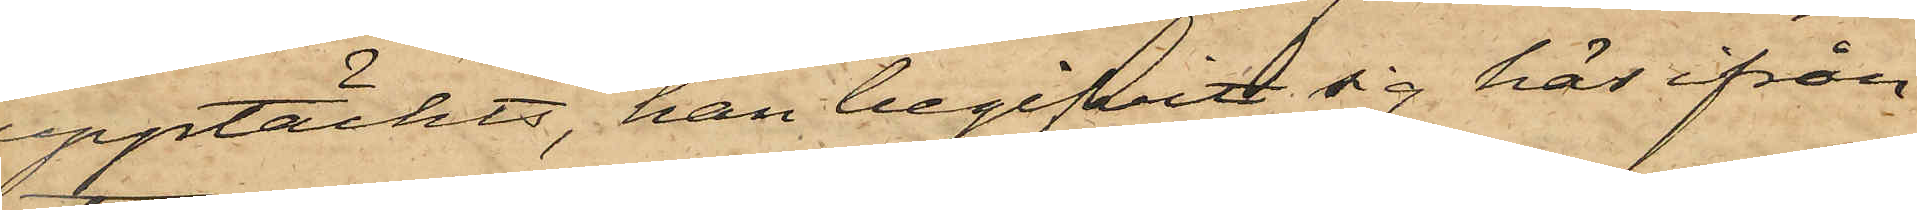upptäckts, han begifvit sig här ifrån
